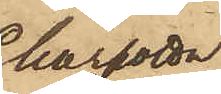Charlotta
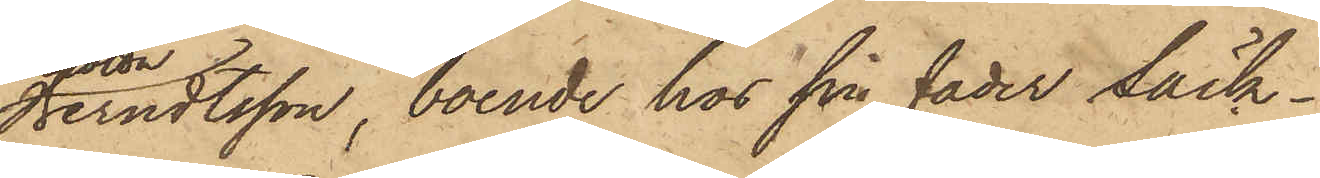Berndtsson, boende hos sin fader Säck¬
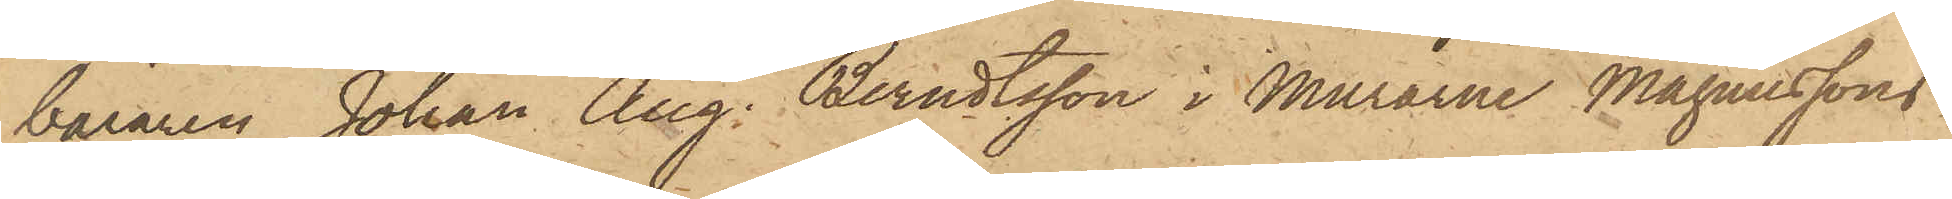bäraren Johan Aug. Berndtsson i Murarne Magnussons
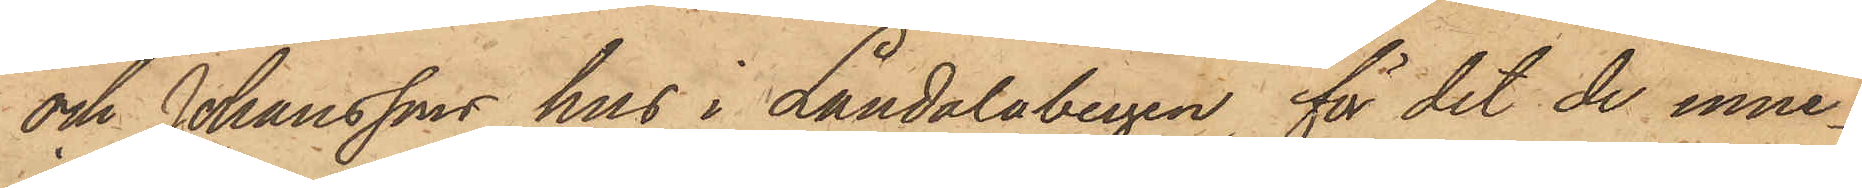och Johanssons hus i Landalabergen för det de inne¬
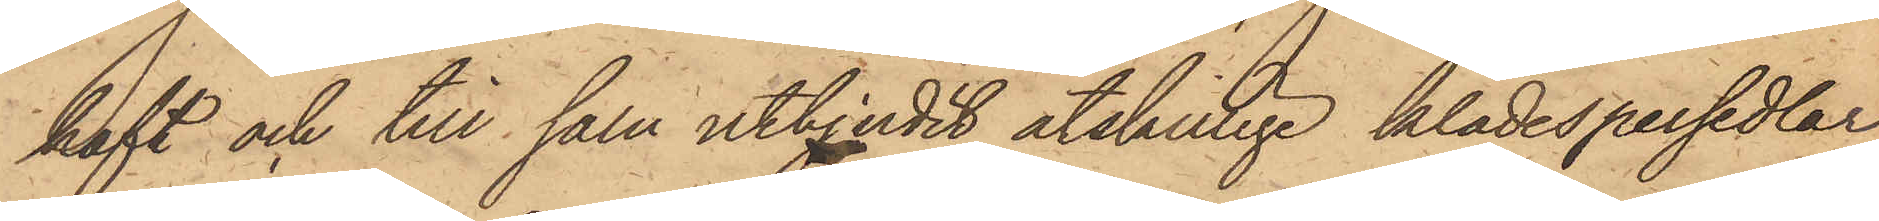haft och till salu utbjudit åtskilliga klädespersedlar,
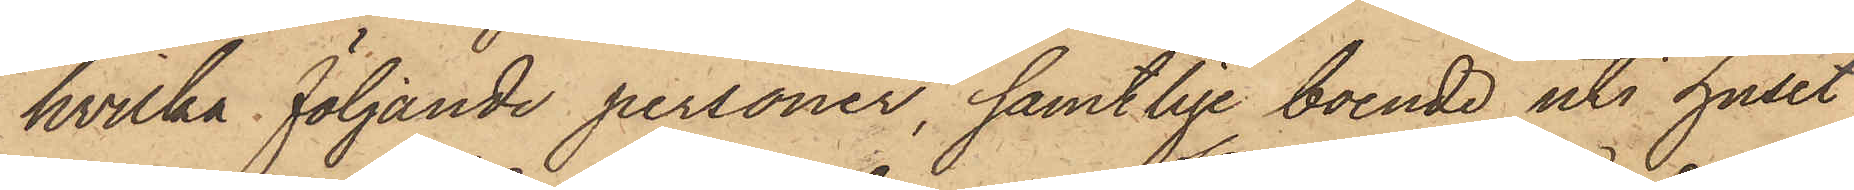hvilka följande personer, samtlige boende uti huset
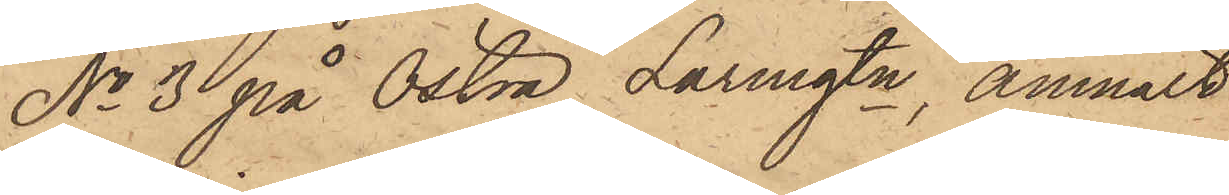No 3 på Östra Larmgtn, anmält
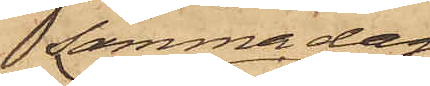samma dag
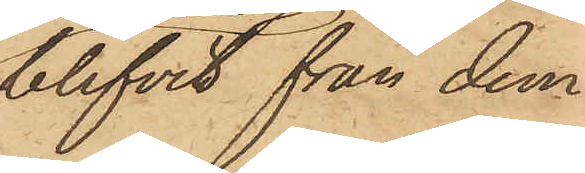blifvit från dem
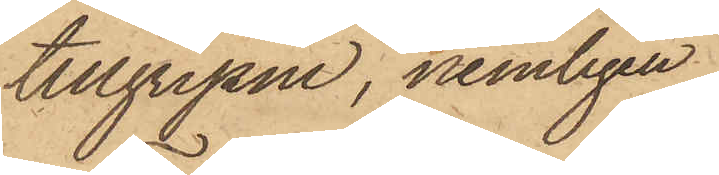tillgripne, nemligen
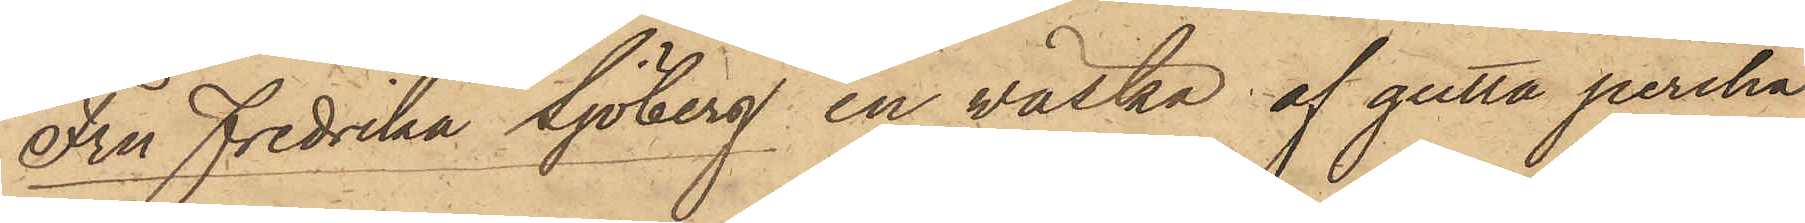Fru Fredrika Sjöberg en väska af gutta percha¬
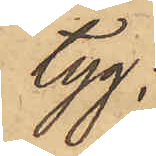tyg;
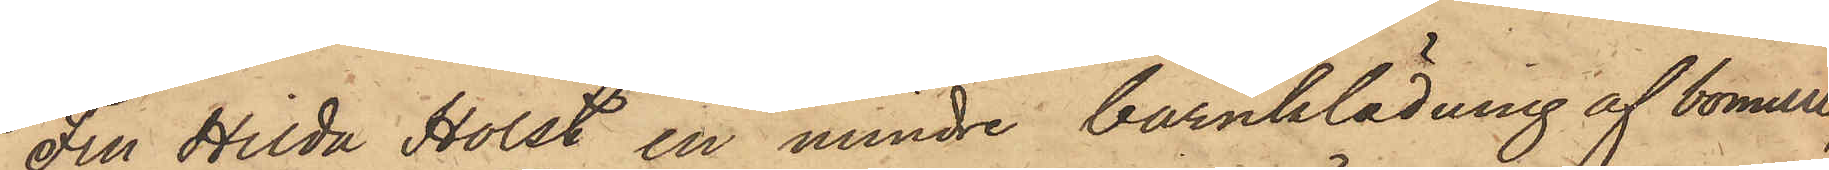Fru Hilda Holst en mindre barnklädning af bomull;
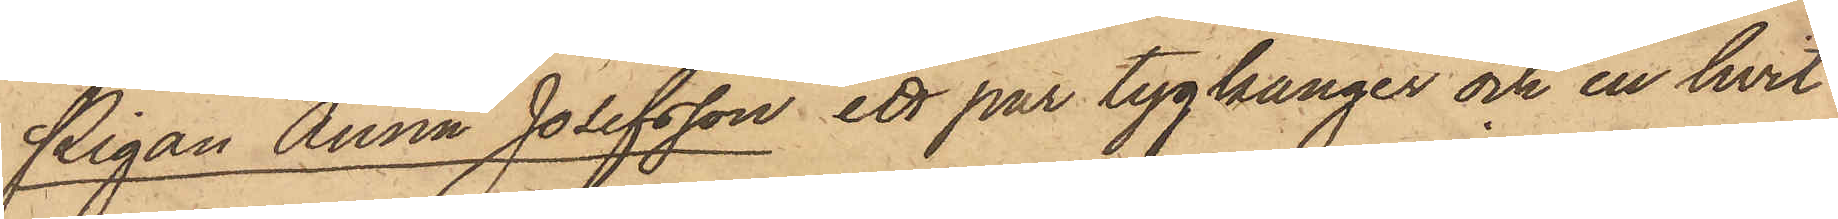Pigan Anna Josefsson ett par tygkänger och en hvit
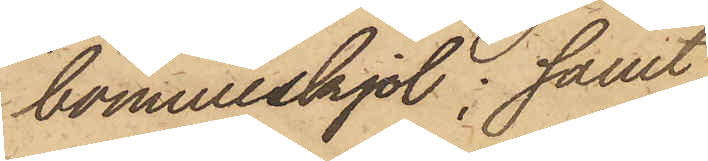bomullskjol; samt
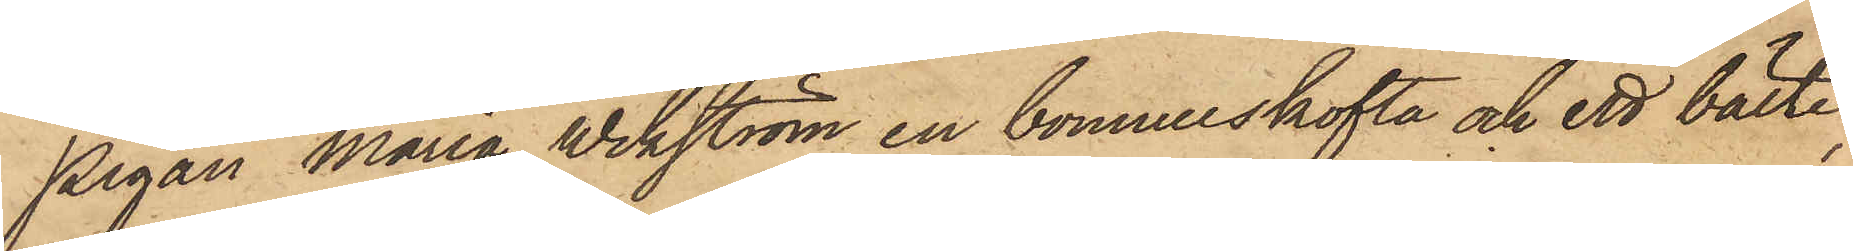Pigan Maria Wikström en bomullskofta och ett bälte;
